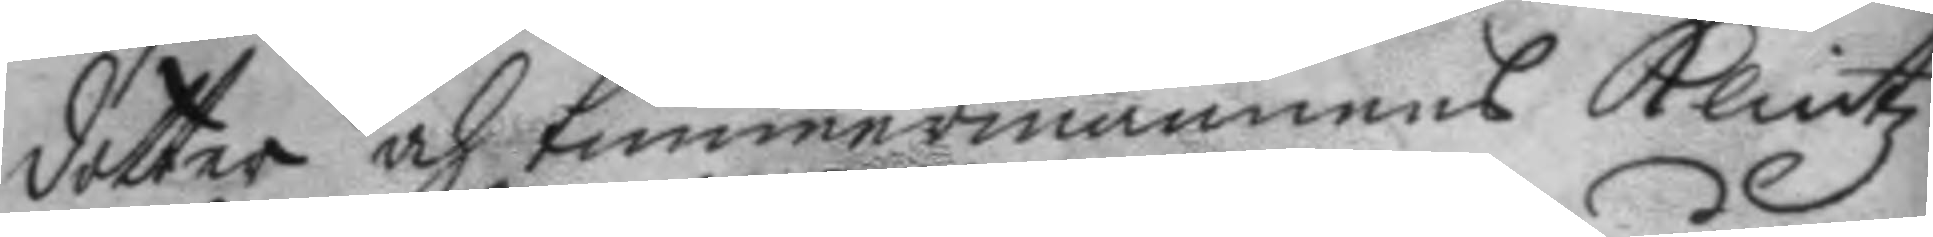dotter och timmermannens Klintz
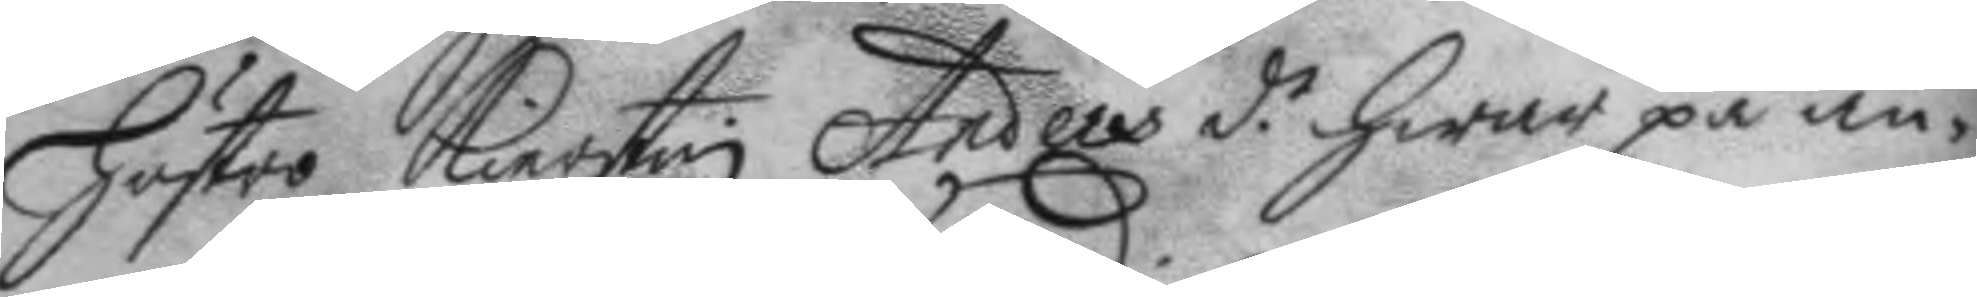hustro Kierstin Anders d.r hwar på an¬ 
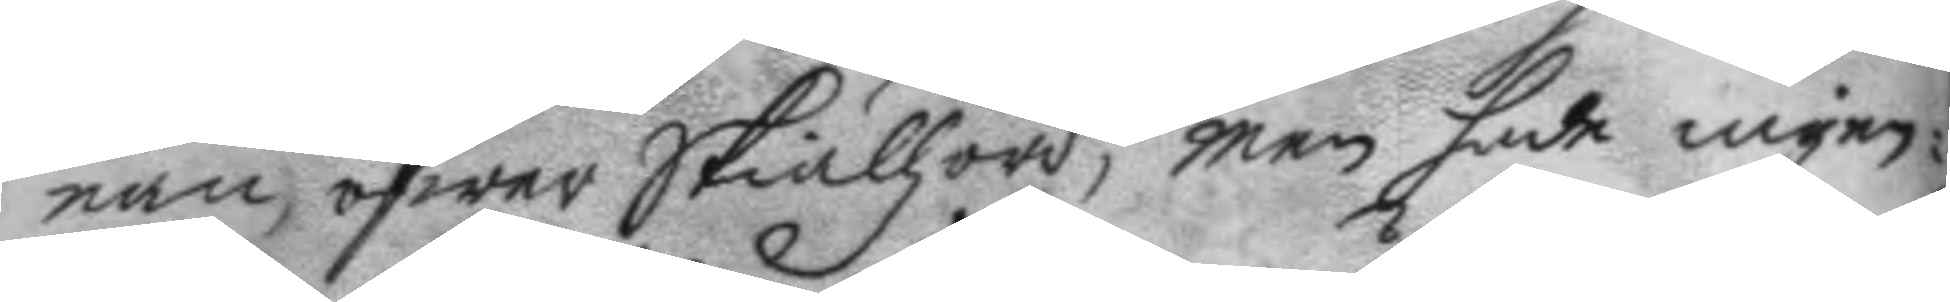nan öfwer Skiällzord, men hade ingen¬
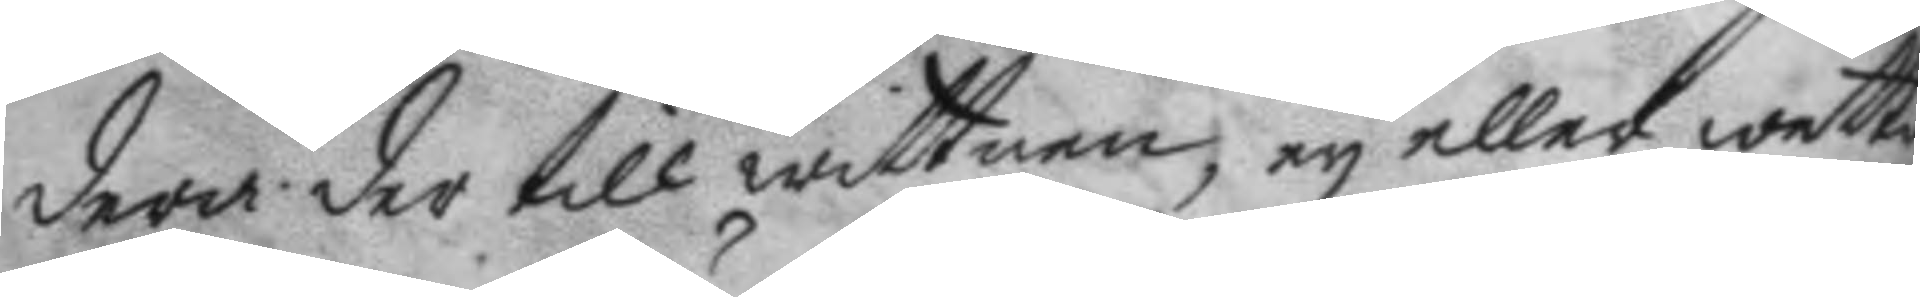dera, der till wittnen, ey eller wetta
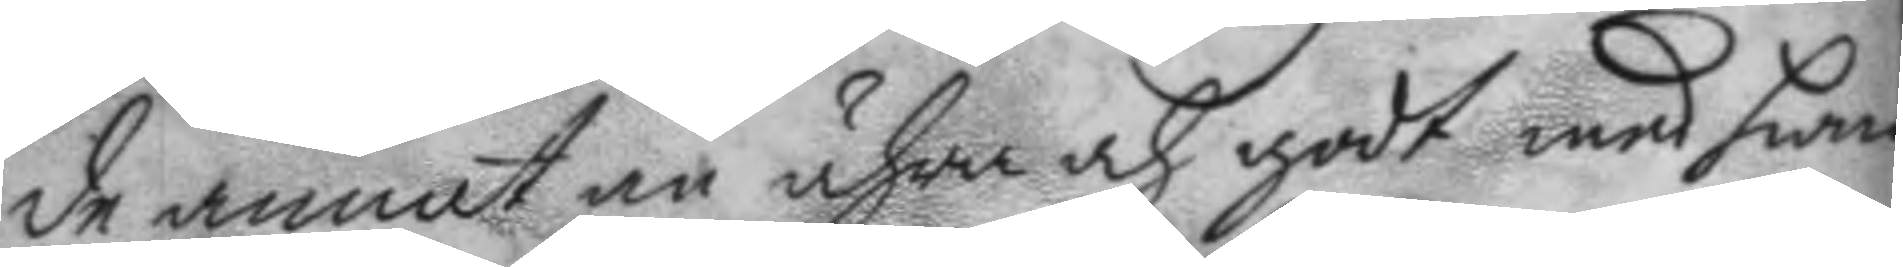de annat än ähra och godt med hwar¬
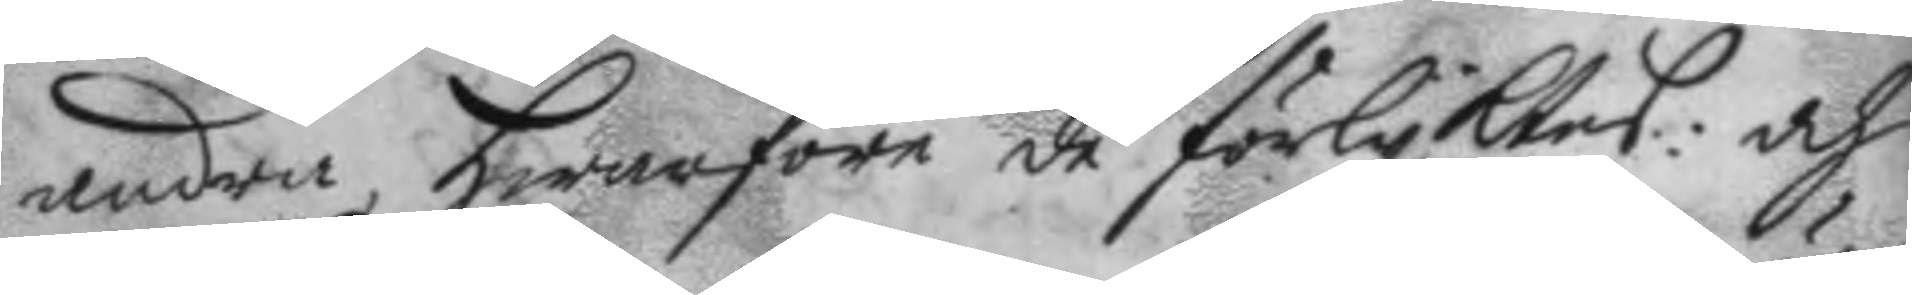andra, hwarföre de förlyktes: och
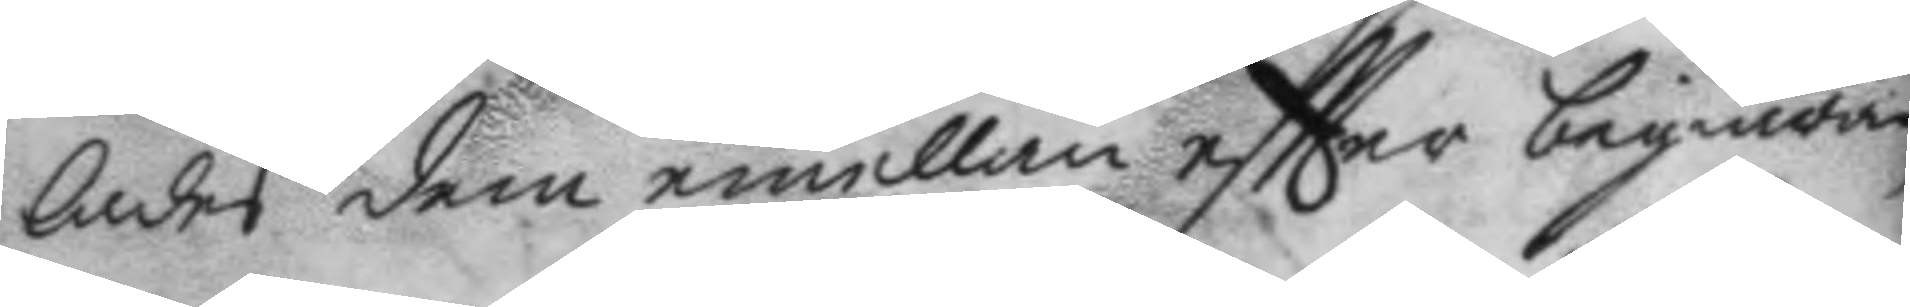lades dem emellan eftter begiäran
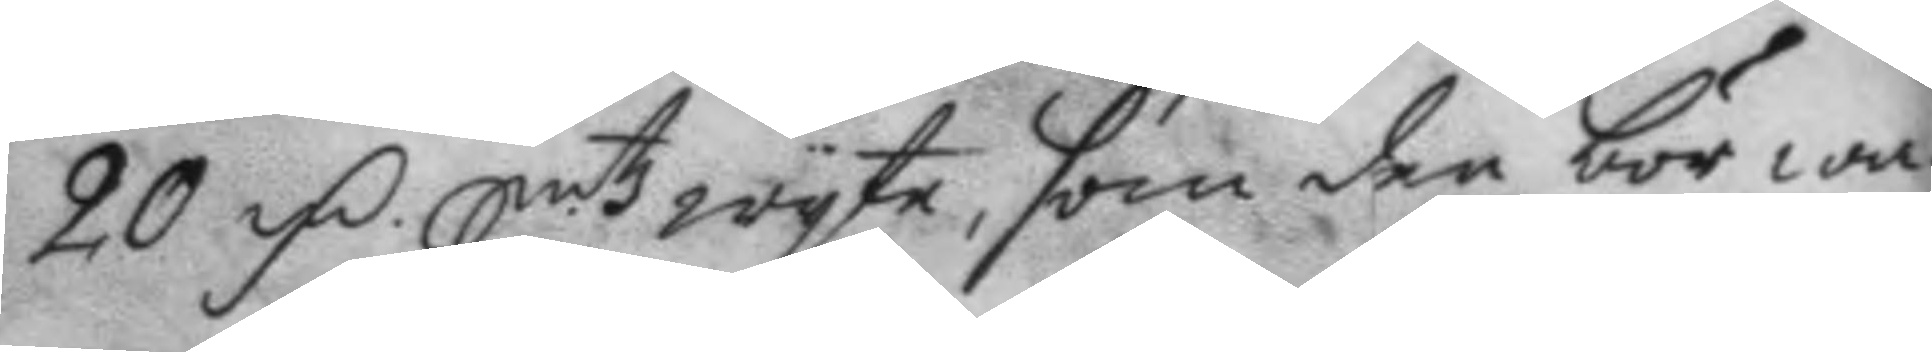20 Fm Smtz wyte, som den bör wa¬ 
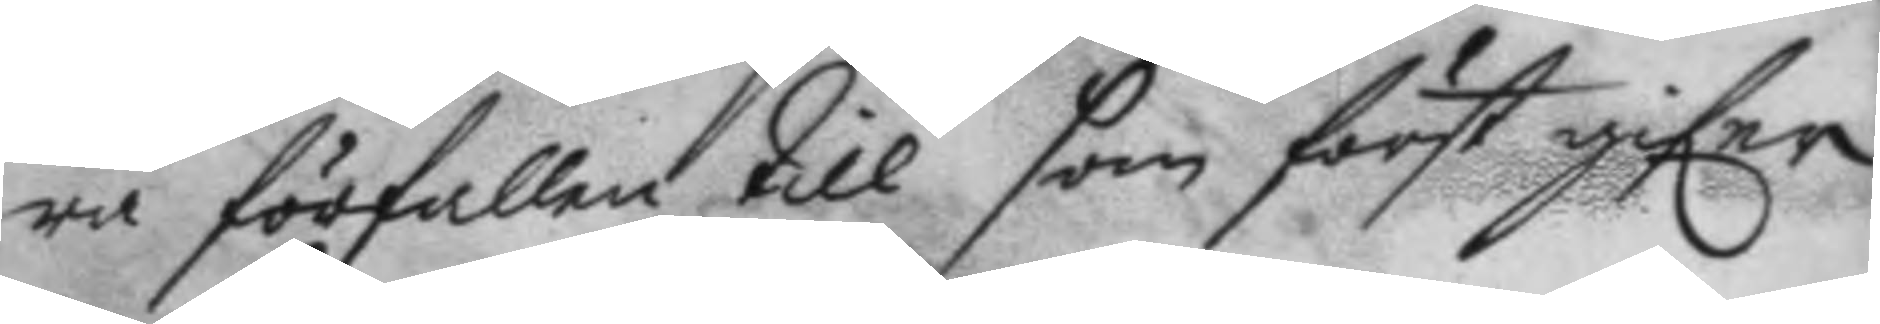ra förfallen till som först gifer
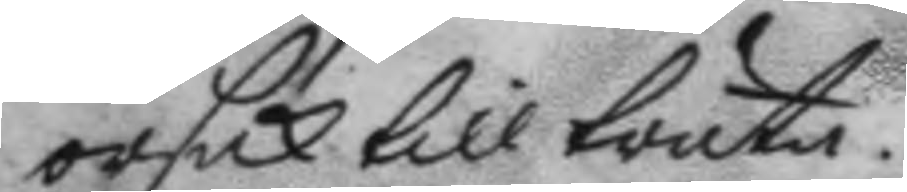orsak till träta.
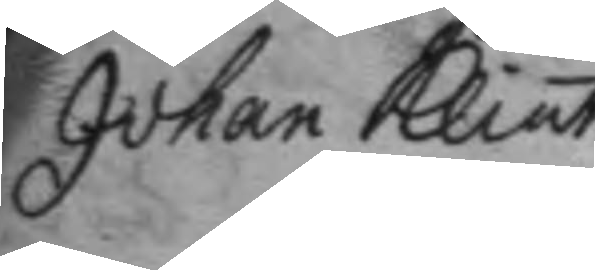Johan Klint
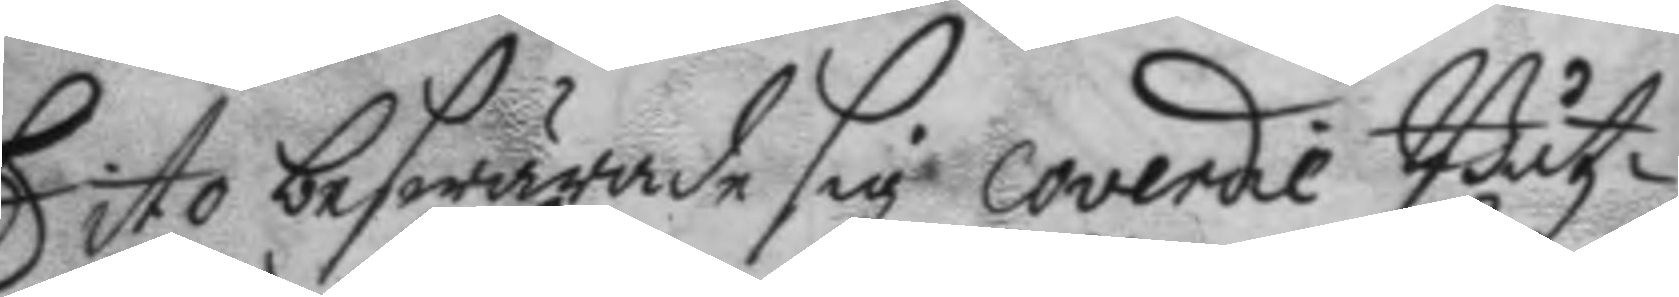Dito beswärade sig coverdie Båtz¬
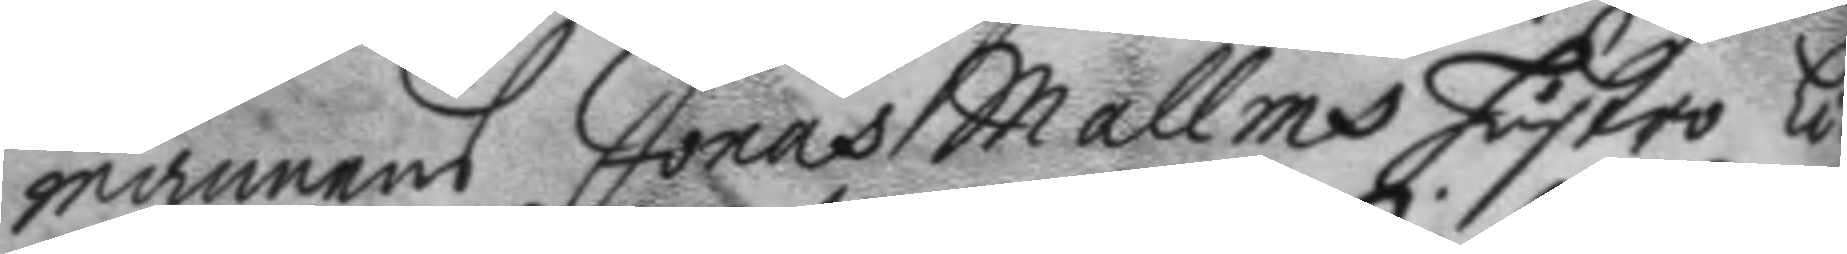mannens Jonas Mallms hustro Li¬
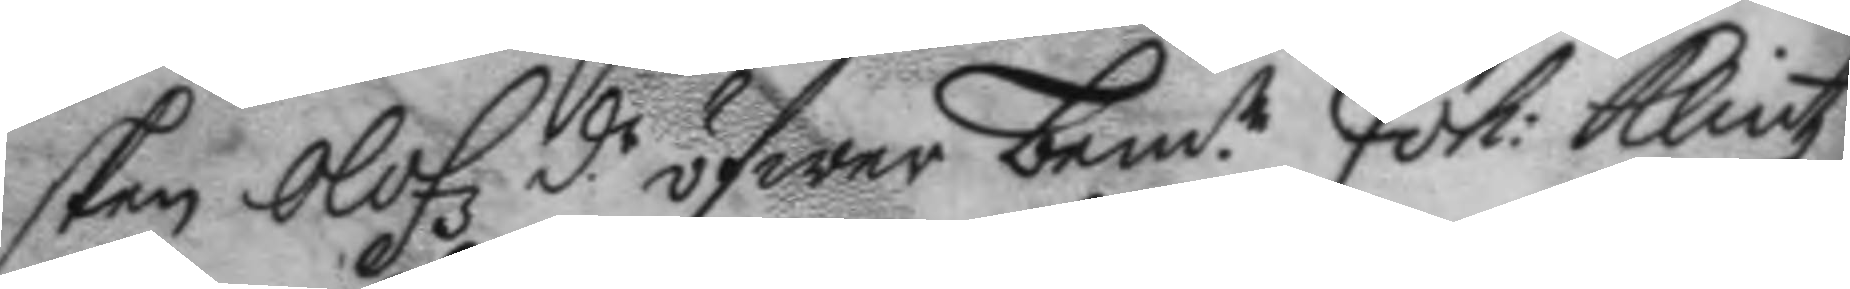sken Olofz d.r öfwer bem.te Joh: Klintz 
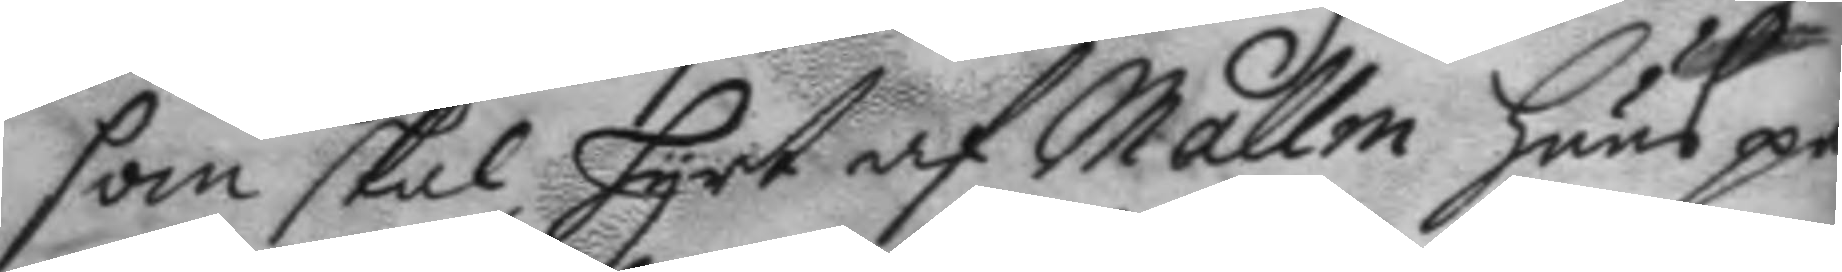som skal hyrt af Mallm huus på
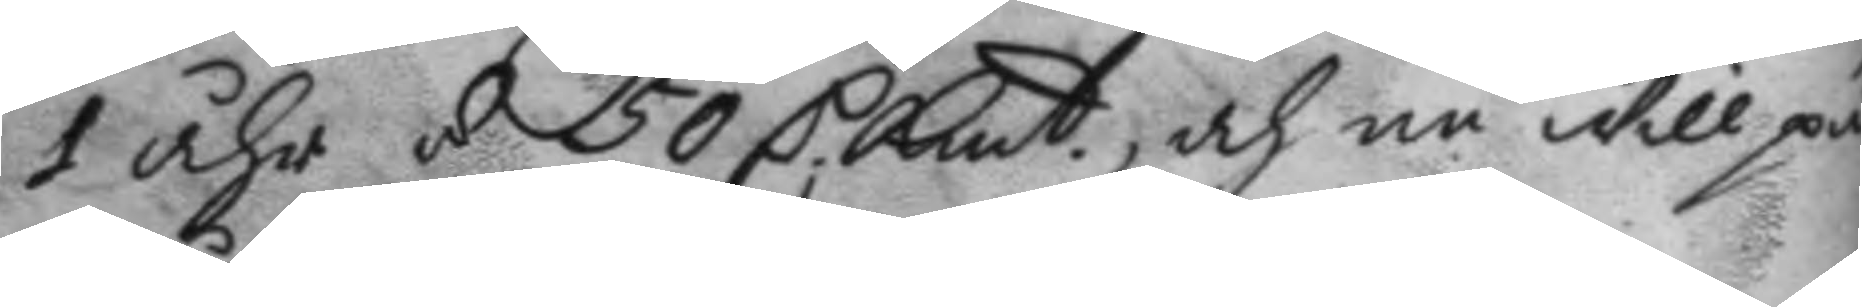1 åhr á 50 C Kmt och nu will på 
